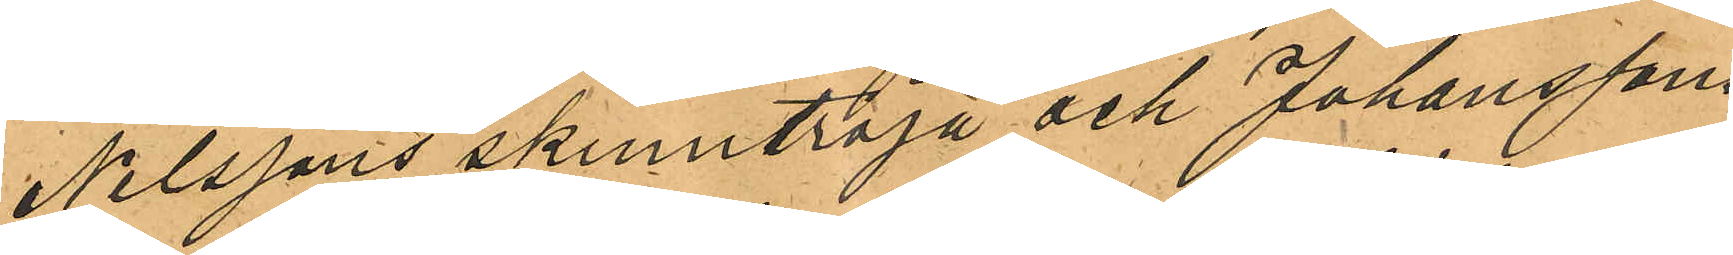Nilssons skinntröja och Johanssons
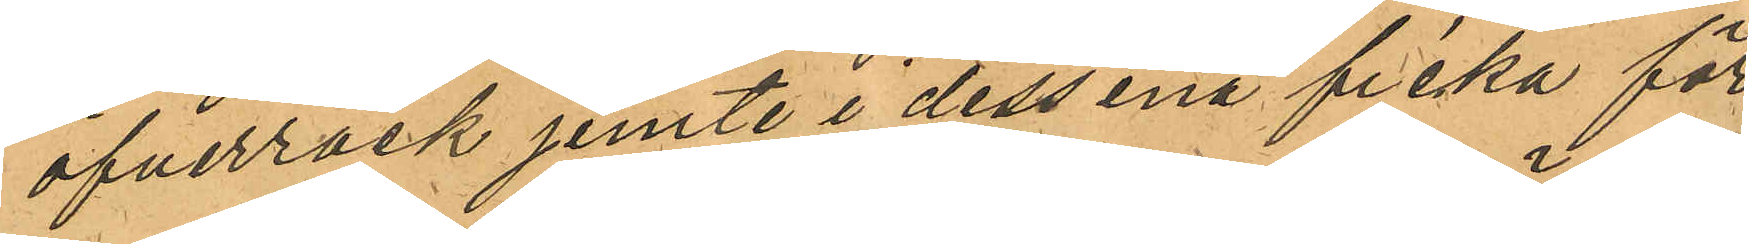öfverrock jemte i dess ena ficka för¬
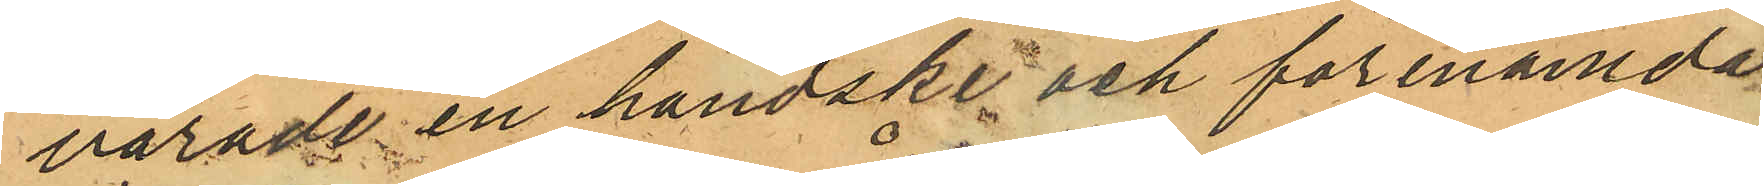varade en handske och förenämda
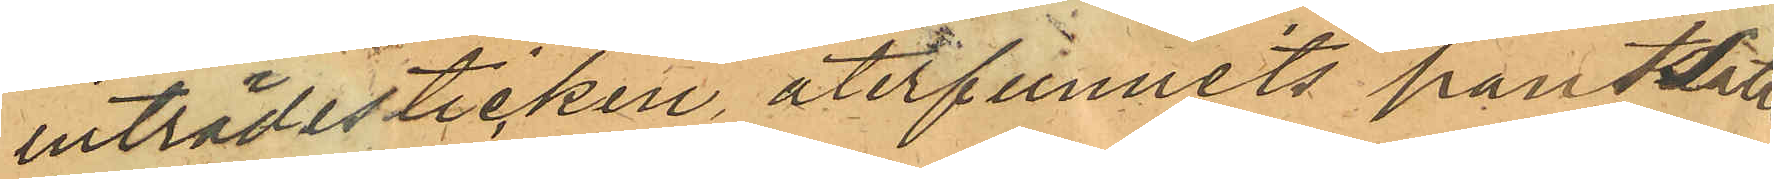inträdesticken, återfunnits pantsatte
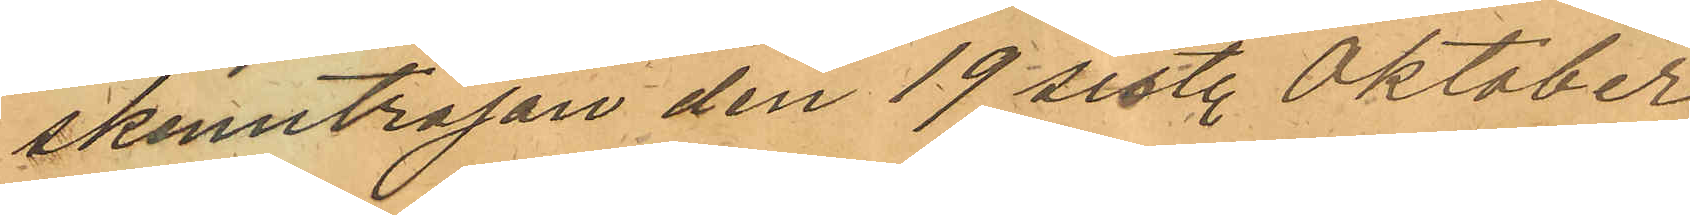skinntröjan den 19 sist. Oktober
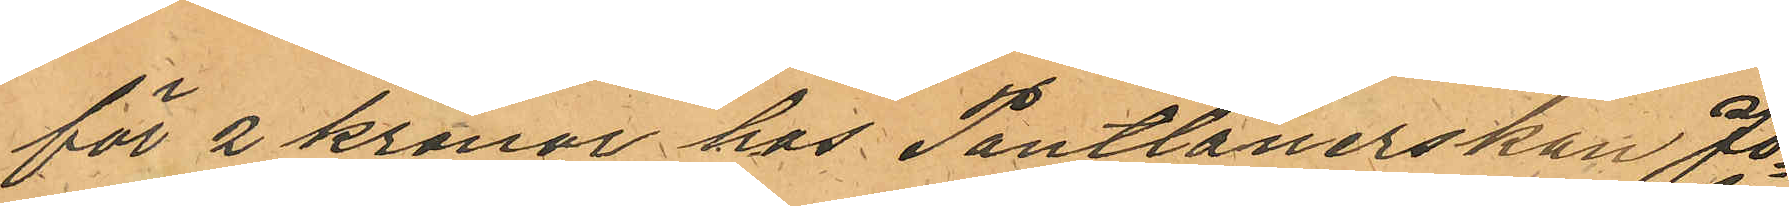för 2 kronor hos Pantlånerskan Jo¬
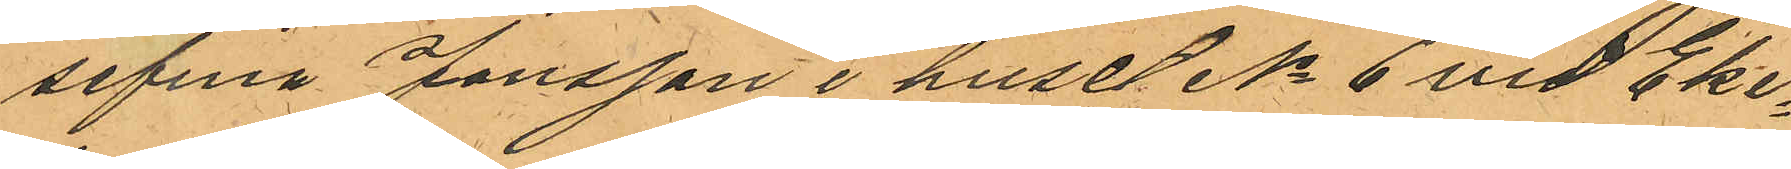sefina Jonsson i huset No 6 vid Eke¬
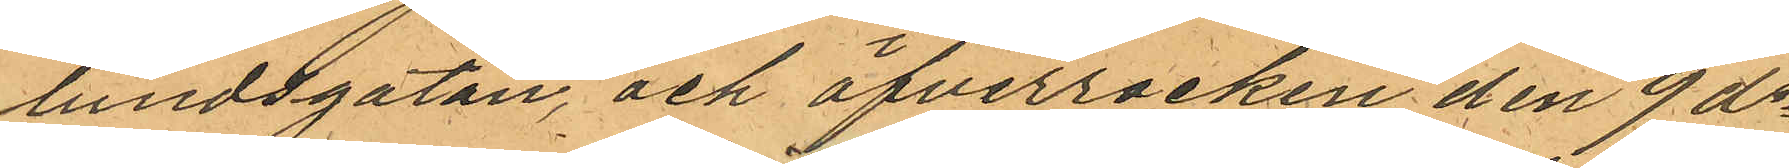lundsgatan, och öfverrocken den 9 ds
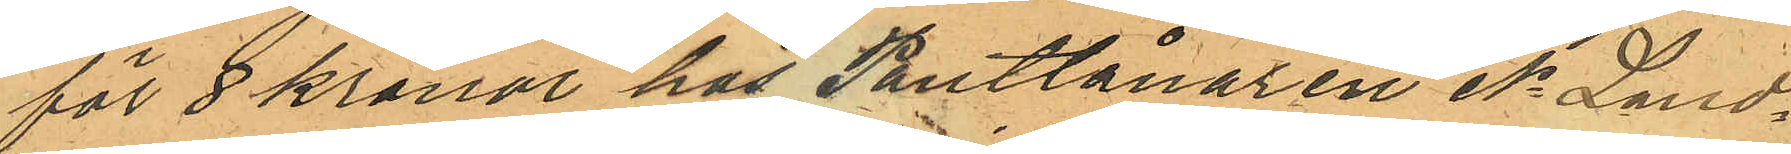för 8 kronor hos Pantlånaren N. Land¬
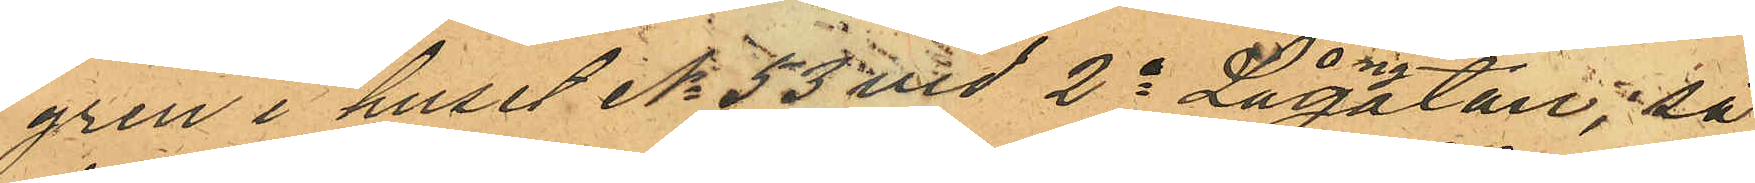gren i huset No 53 vid 2a Långgatan, så
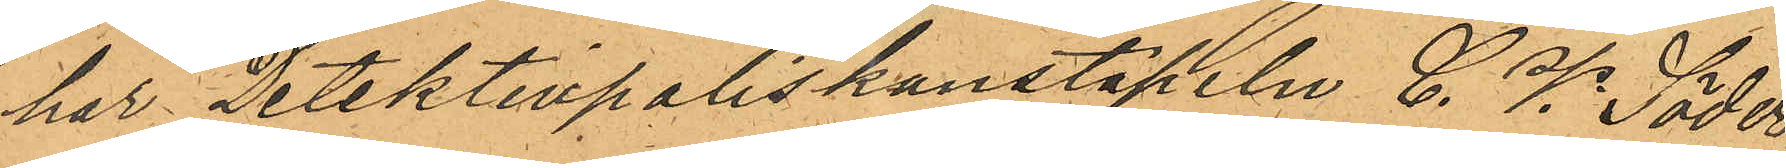har Detektivpoliskonstapeln C. V. Söder¬
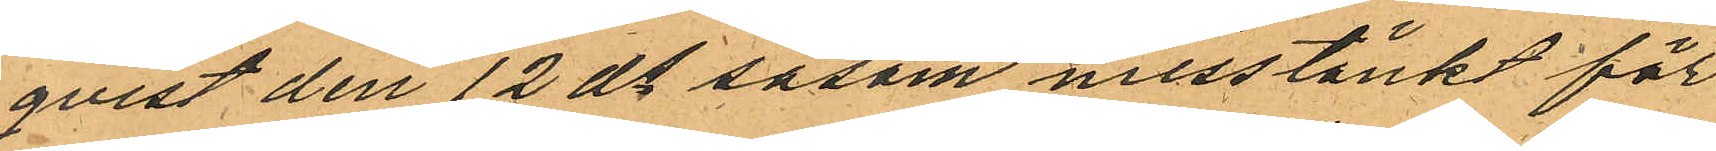qvist den 12 ds såsom misstänkt för
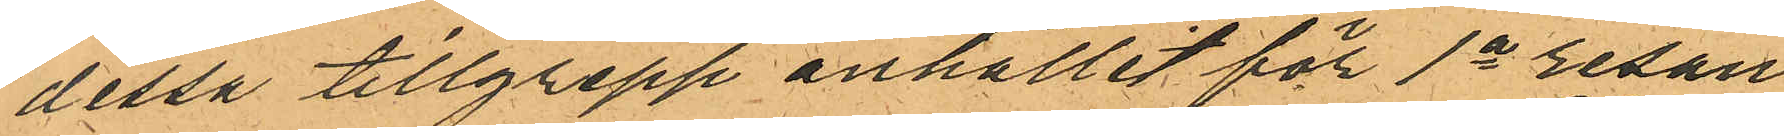dessa tillgrepp anhållit för 1a resan
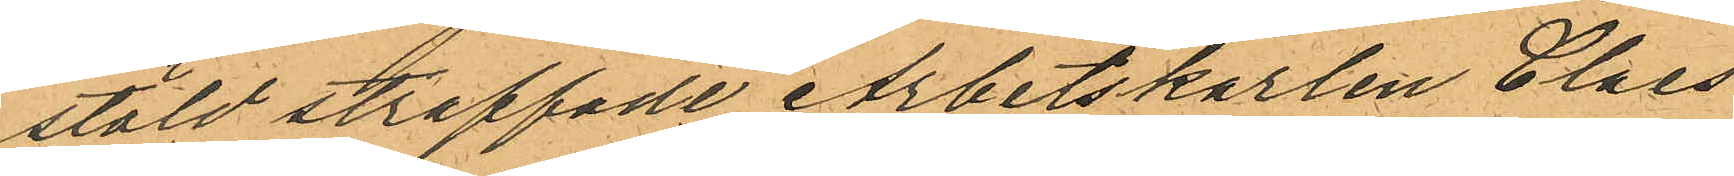stöld straffade Arbetskarlen Claes
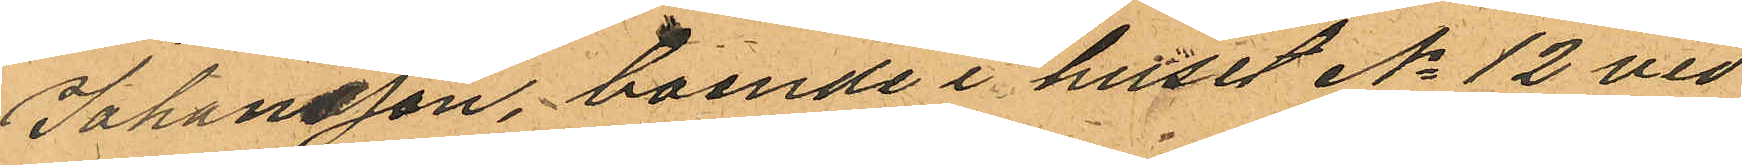Johansson, boende i huset No 12 vid
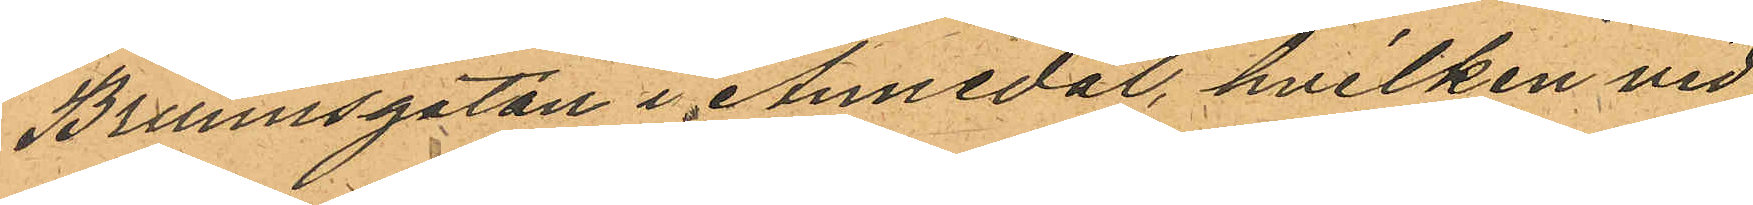Brunnsgatan i Annedal, hvilken vid
